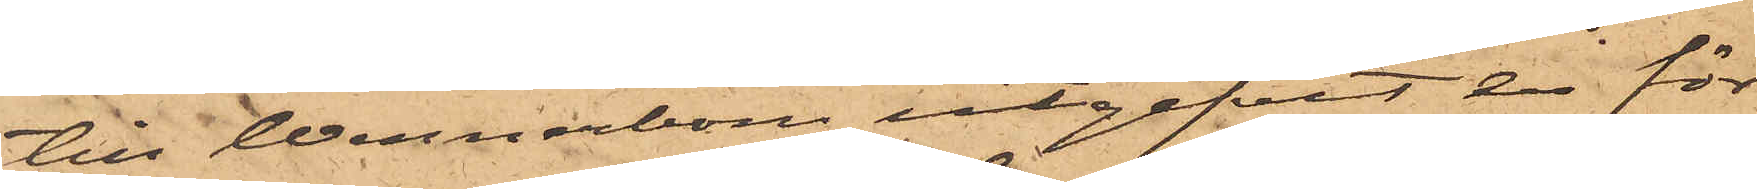till Wennerbom utgifvit en för¬
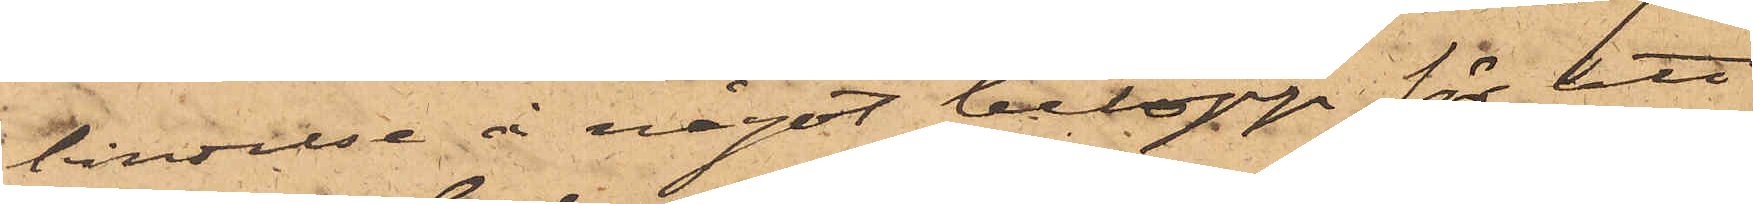bindelse å något belopp för att
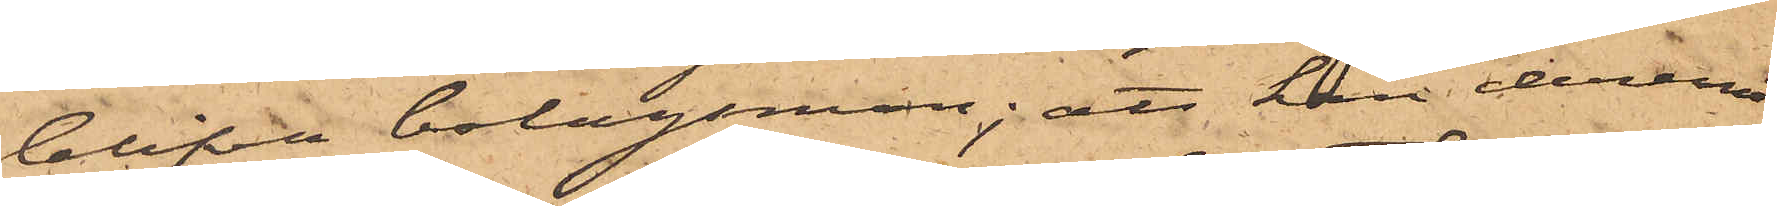blifva bolagsman; att han deremot
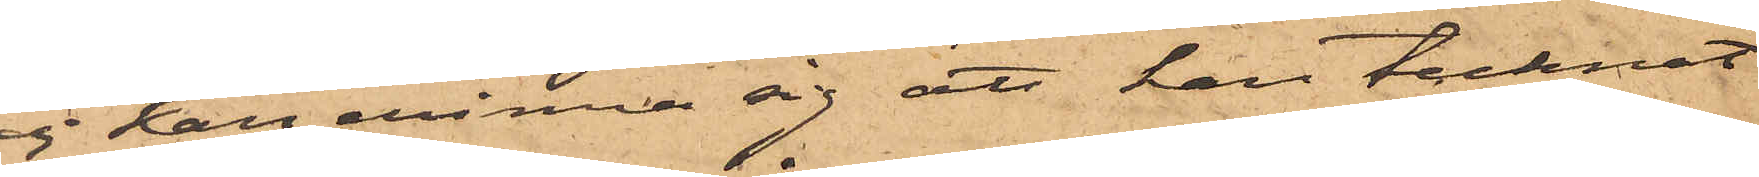ej kan erinra sig att han tecknat
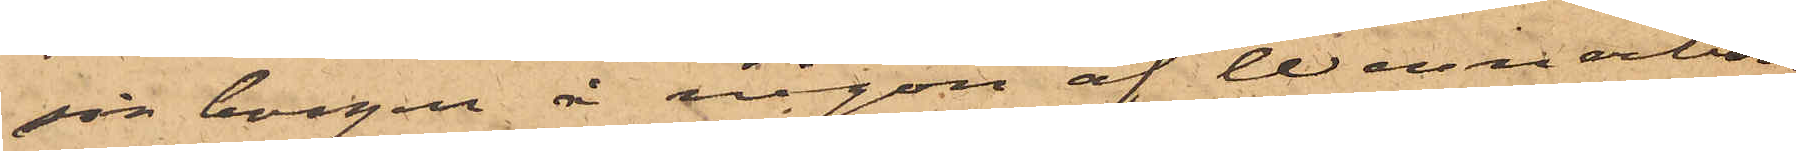sin borgen i någon af Wennerbom
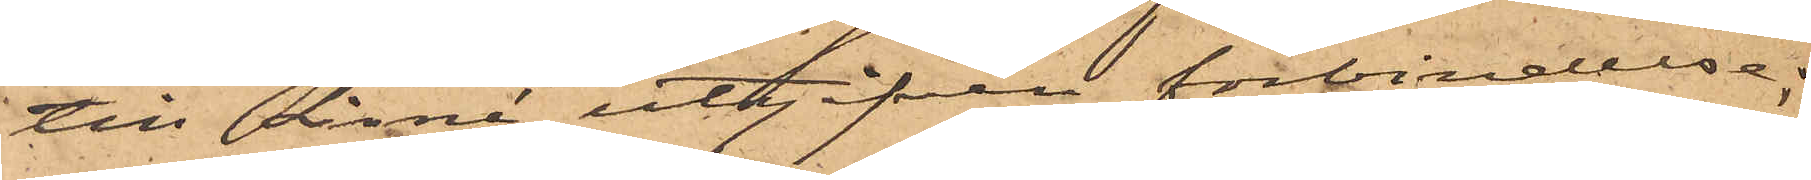till Linné utgifven förbindelse;
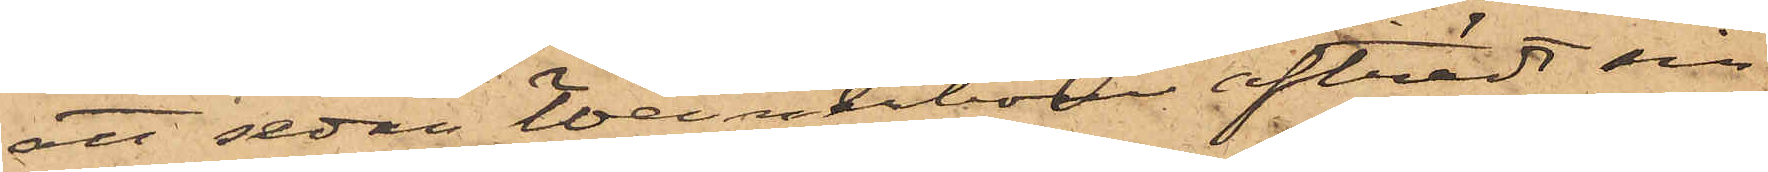att sedan Wennerbom afträdt sin
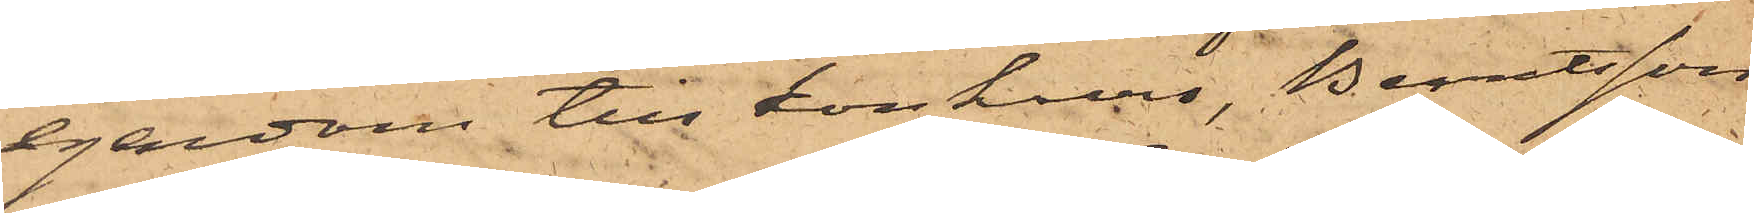egendom till konkurs, Berntsson
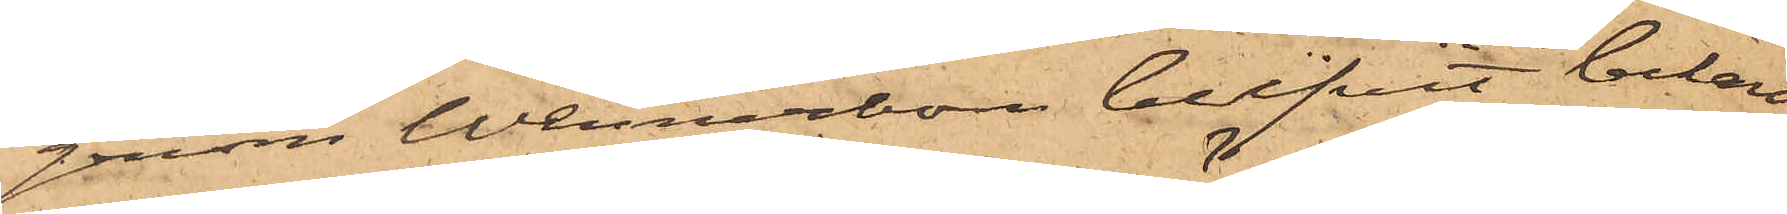genom Wennerbom blifvit bekant
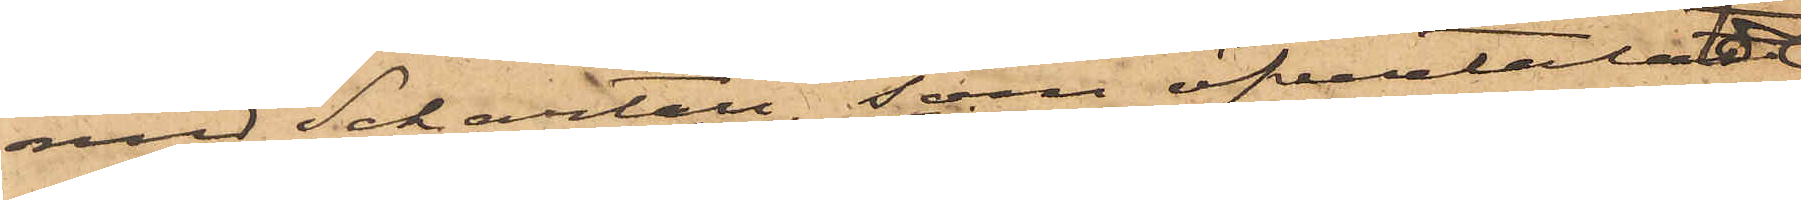med Schartau, som öfvertalat
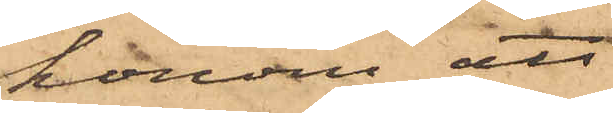honom att
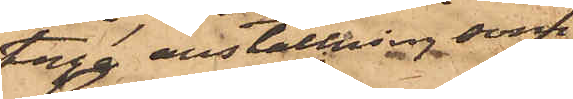taga anställning som
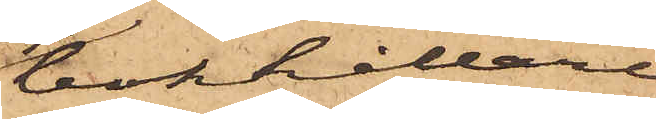bokhållare
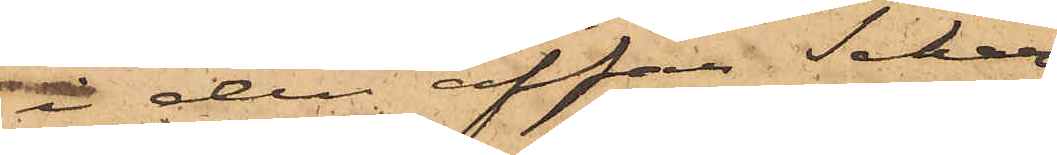i den affär Schar¬
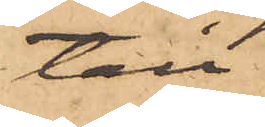tau
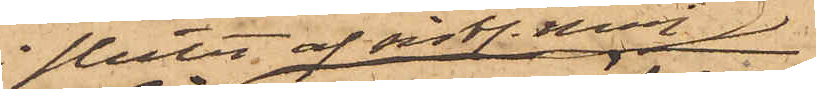i slutet af sist. Maj
